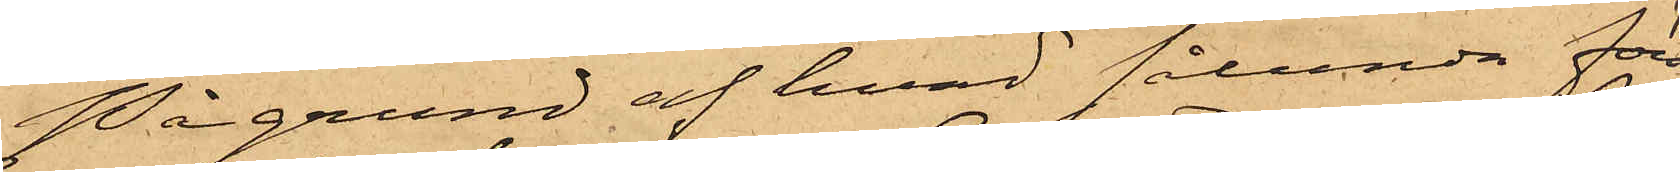På grund af hvad sålunda före¬
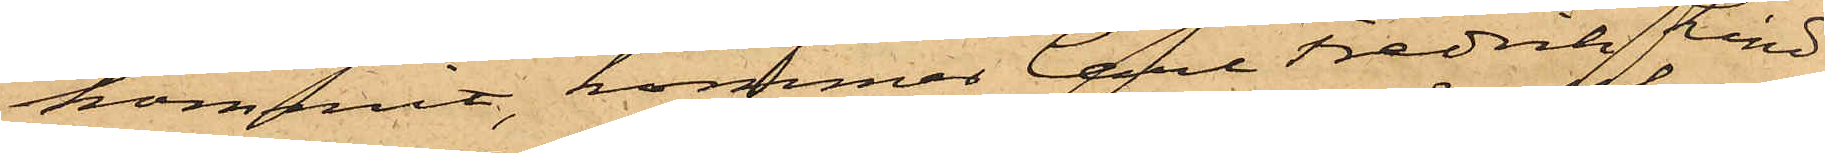kommit, kommer Carl Fredrik Lind¬
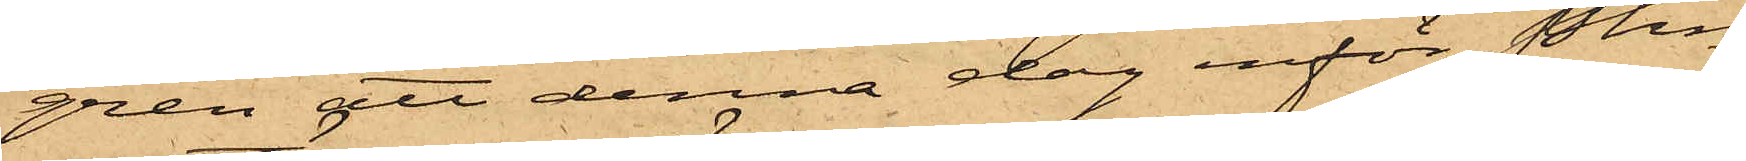gren att denna dag inför Pkn
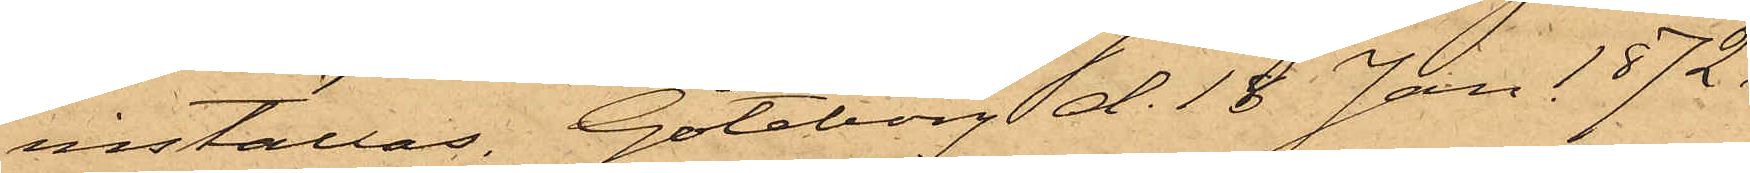inställas. Göteborg d. 18 Jan 1872.
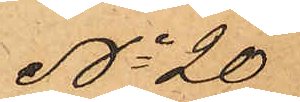No 20
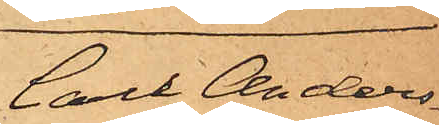Carl Anders¬
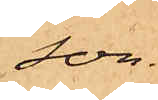son.
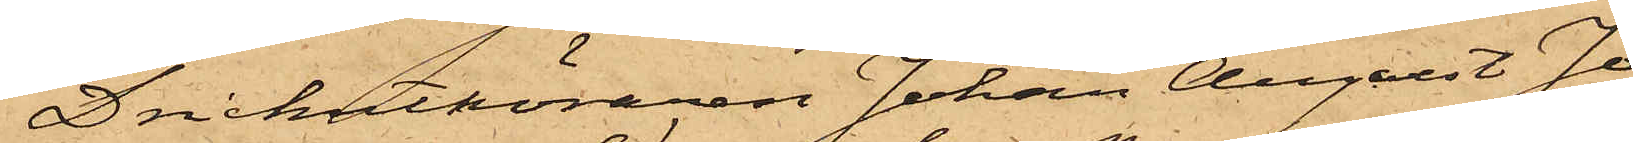Drickutköraren Johan August Jo¬
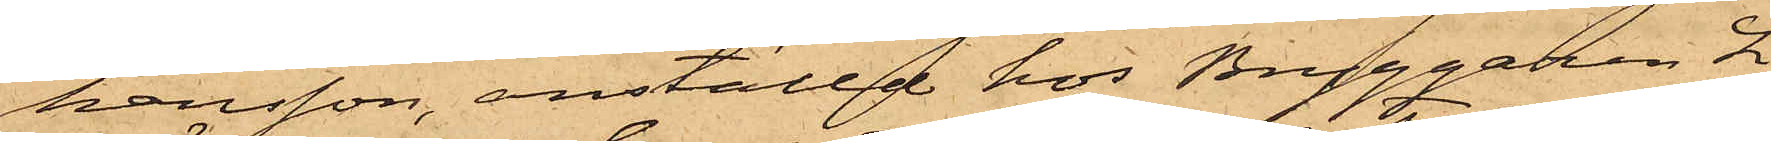hansson, anställd hos Bryggaren L.
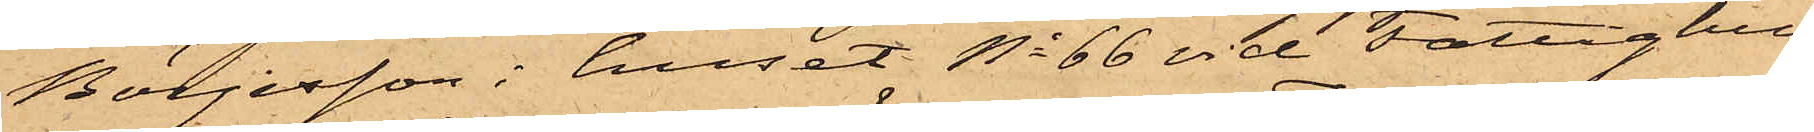Börjesson i huset No 66 vid Fattighus¬
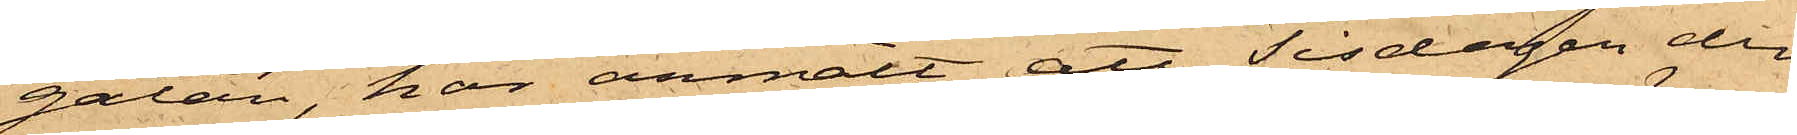gatan, har anmält att Tisdagen den
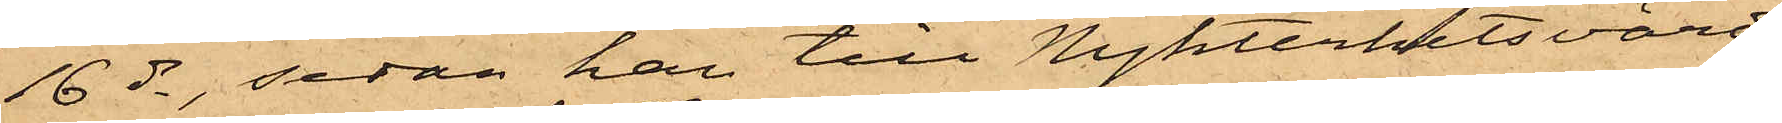16 ds, sedan han till Nykterhetsvärds¬
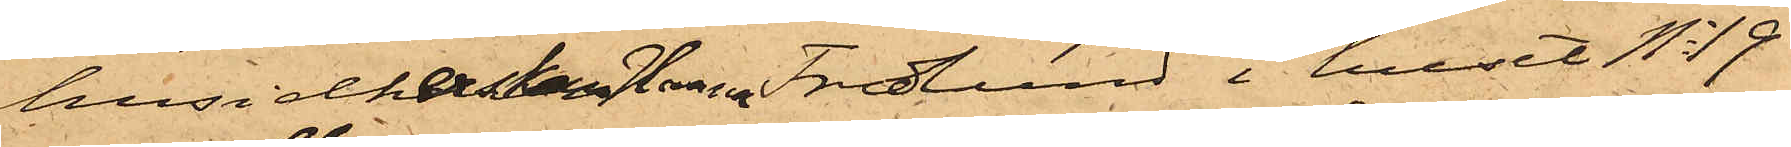husidkerskan Hanna Fredlund i huset No 19
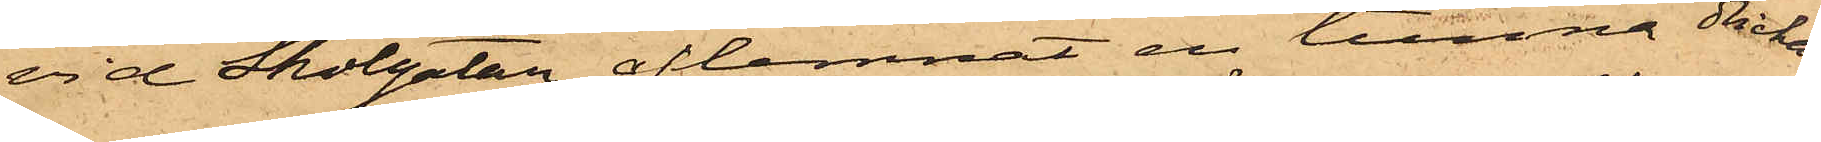vid Skolgatan aflemnat en tunna dricka
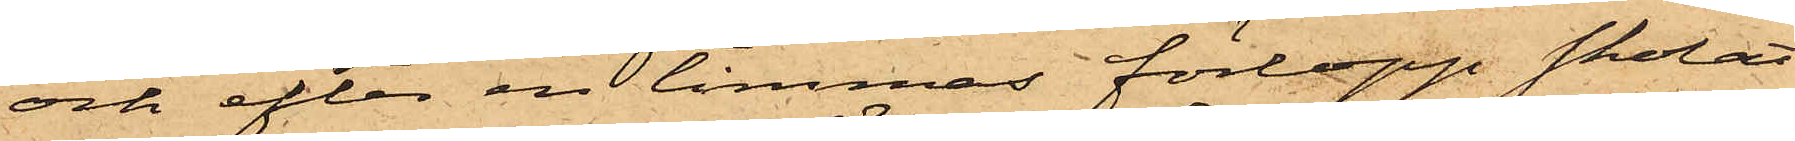och efter en timmas förlopp skolat
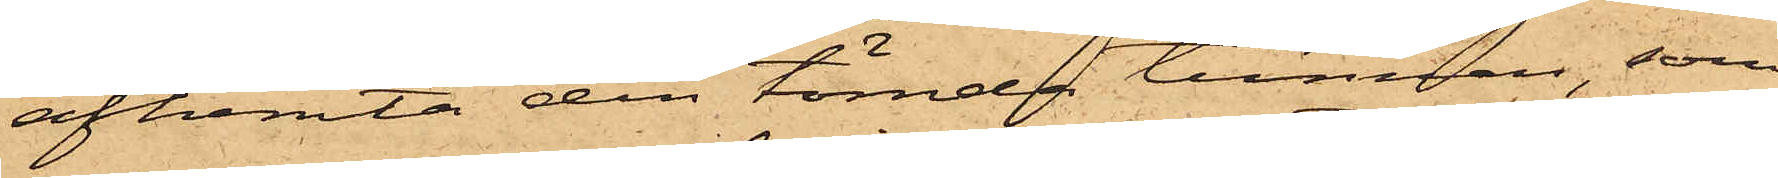afhemta den tömda tunnan, som
